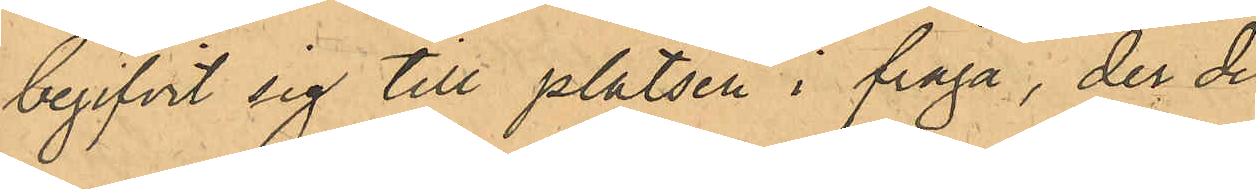begifvit sig till platsen i fråga, der de
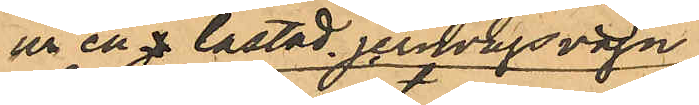ur en  j lastad jernvägsvagn
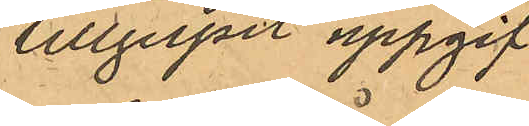tillgripit uppgif¬
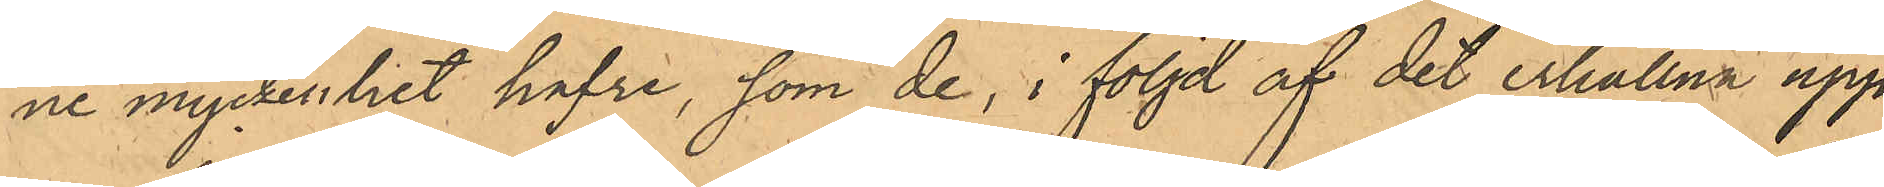ne myckenhet hafre, som de, i följd af det erhållna upp¬
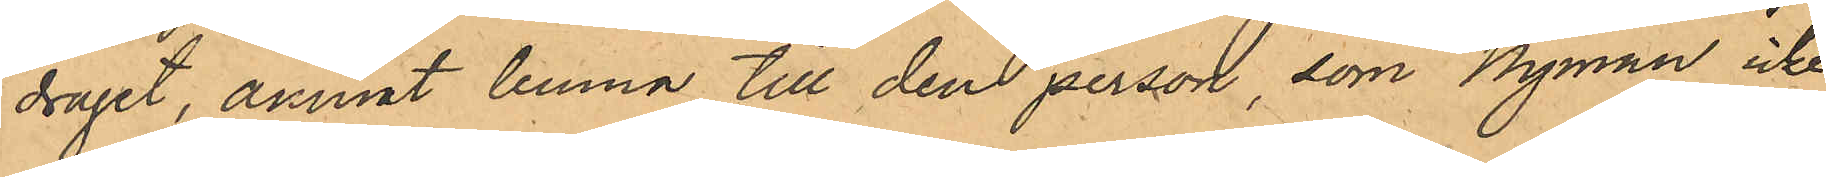draget, ämnat lemna till den person, som Nyman icke
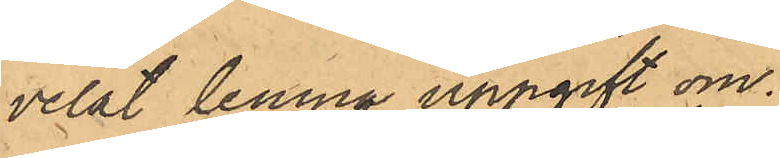velat lemna uppgift om.
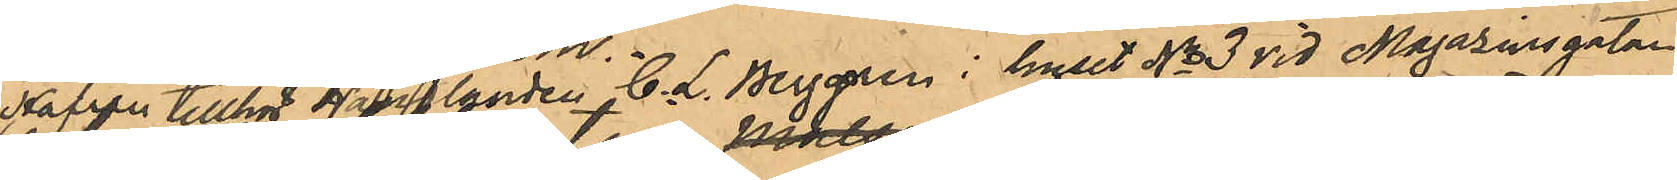Hafren tillhör Handlanden C. L. Berggren i huset No 3 vid Magazinsgatan
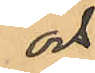och
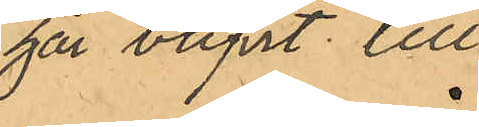har blifvit till
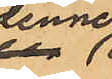denne
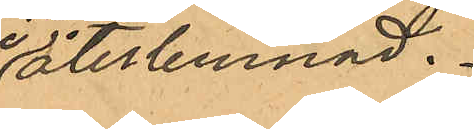återlemnad.
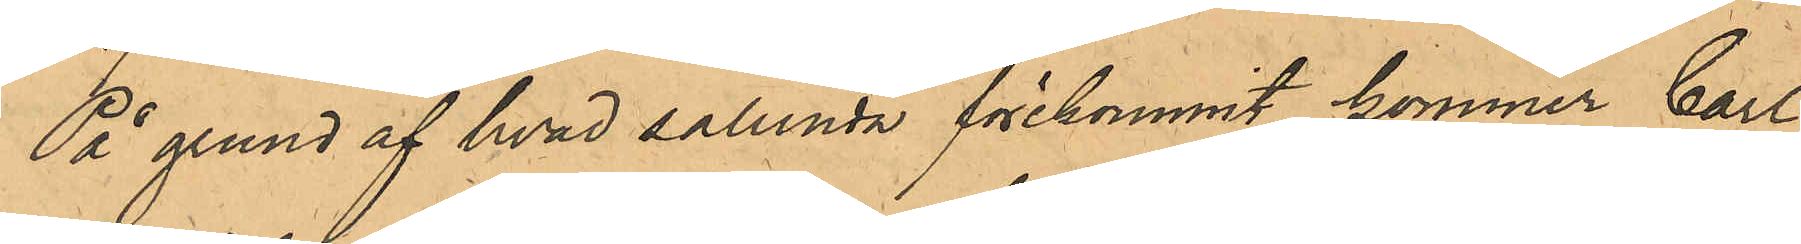På grund af hvad sålunda förekommit, kommer Carl
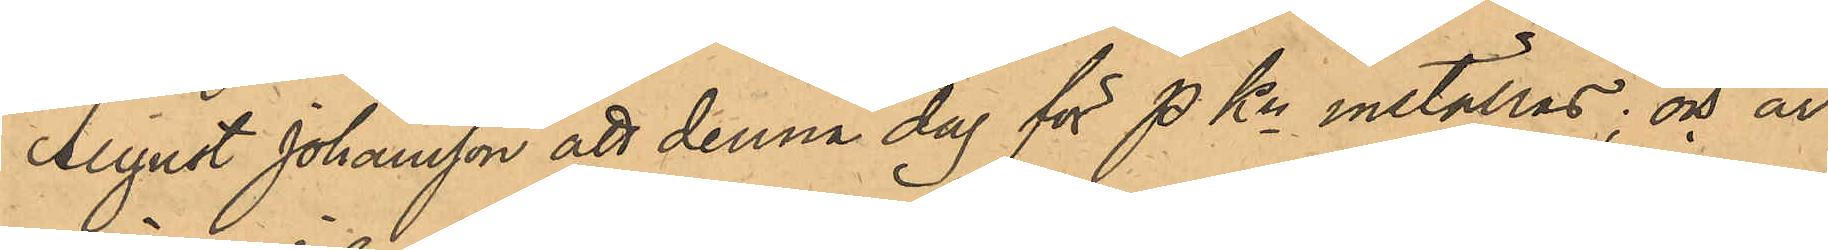August Johansson att denna dag för PKn inställas; och är
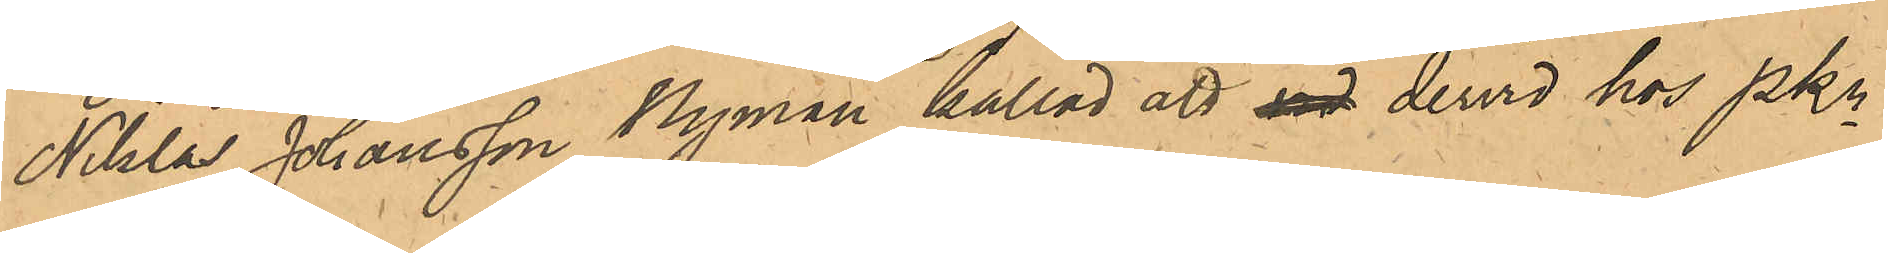Niklas Johansson Nyman kallad att vid dervid hos PKn
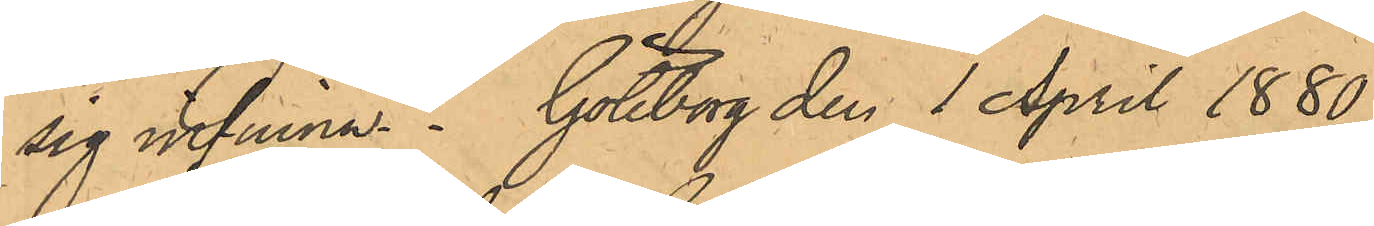sig infinna. Göteborg den 1 April 1880.
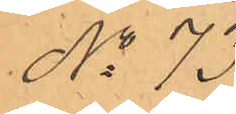No 73.
